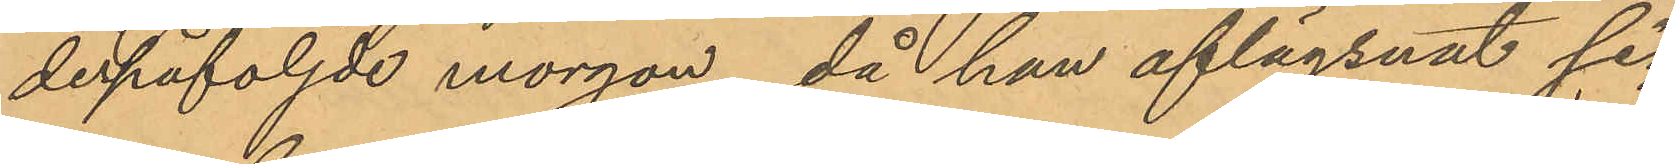derpåföljde morgon, då han aflägsnat sig
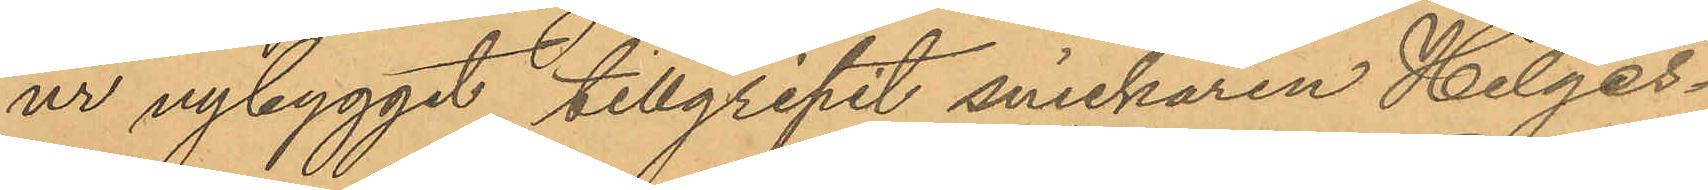ur nybygget tillgripit snickaren Helges¬
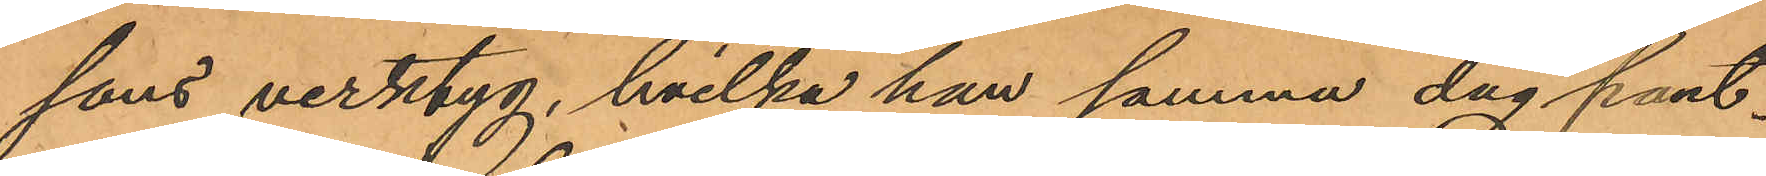sons verktyg, hvilka han samma dag pant¬
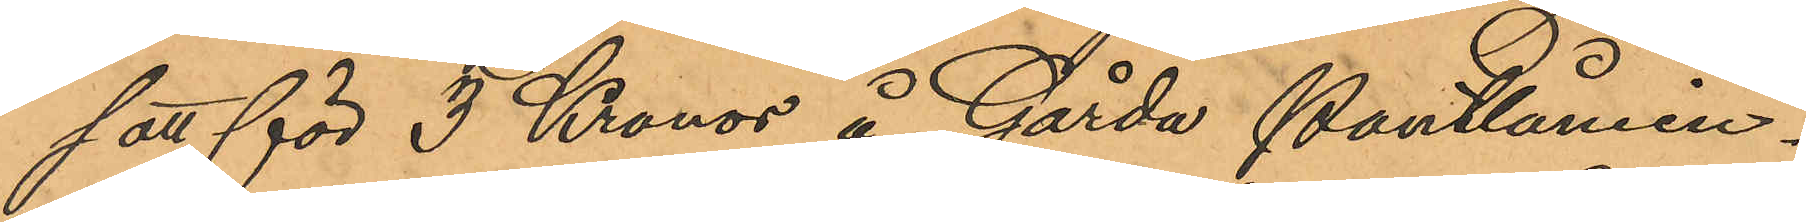satt för 3 Kronor å Gårda Pantlånein¬
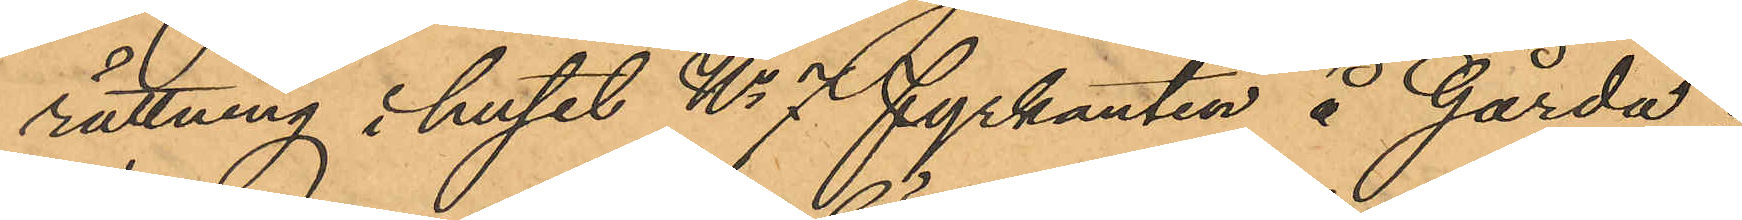rättning i huset No 7 fyrkanten å Gårda;
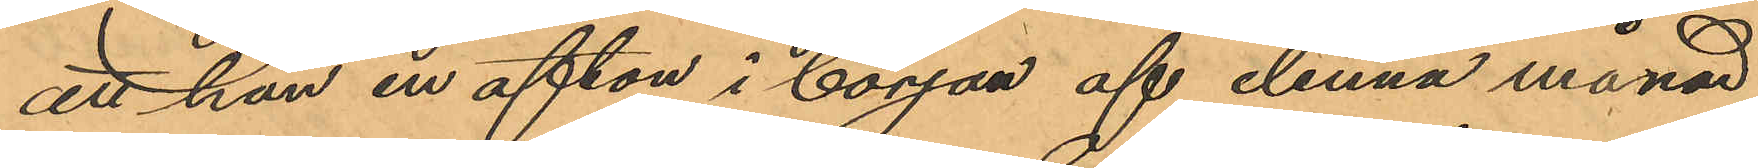att han en afton i början af denna månad
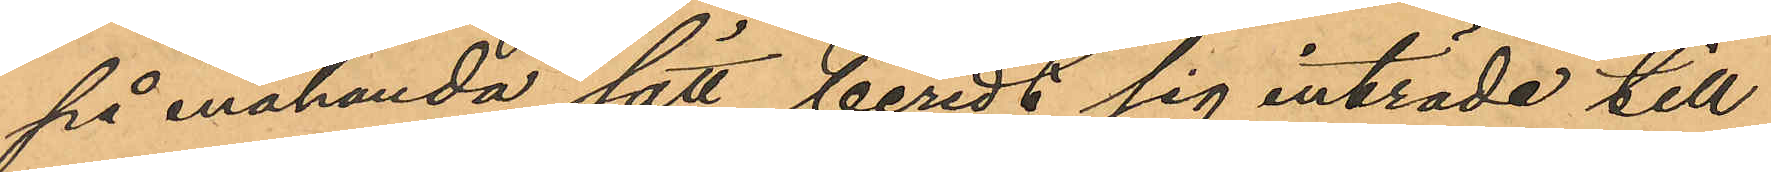på enahanda sätt beredt sig inträde till
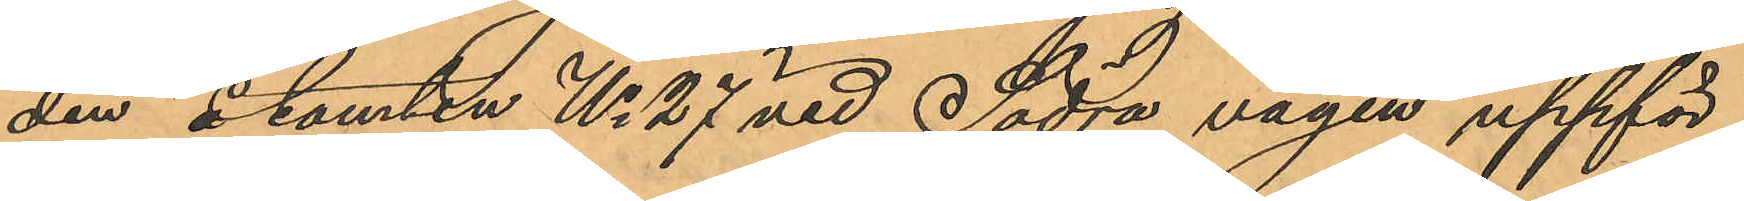den å tomten No 27 vid Södra vägen uppför¬
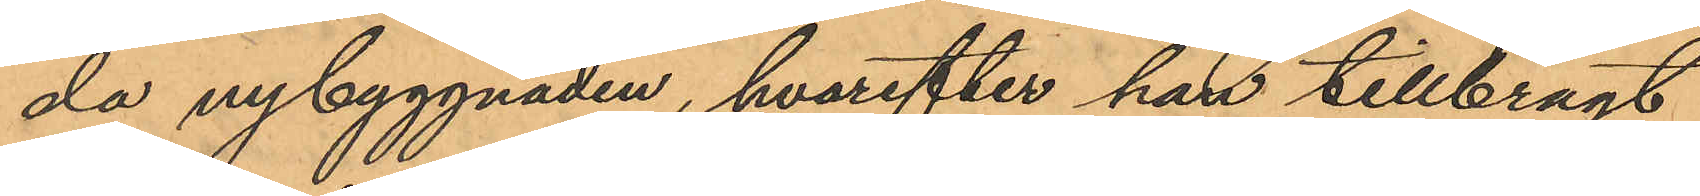da nybyggnaden, hvarefter han tillbragt
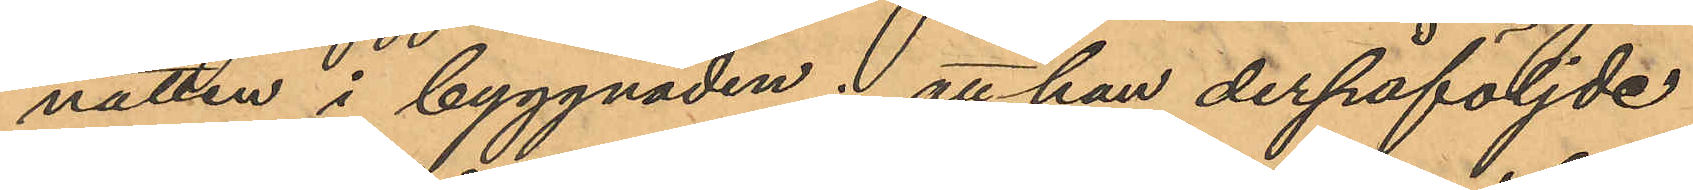natten i byggnaden; att han derpåföljde
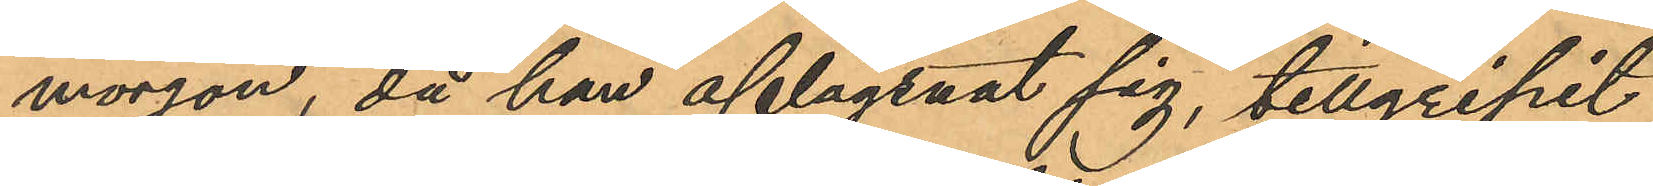morgon, då han aflägsnat sig, tillgripit
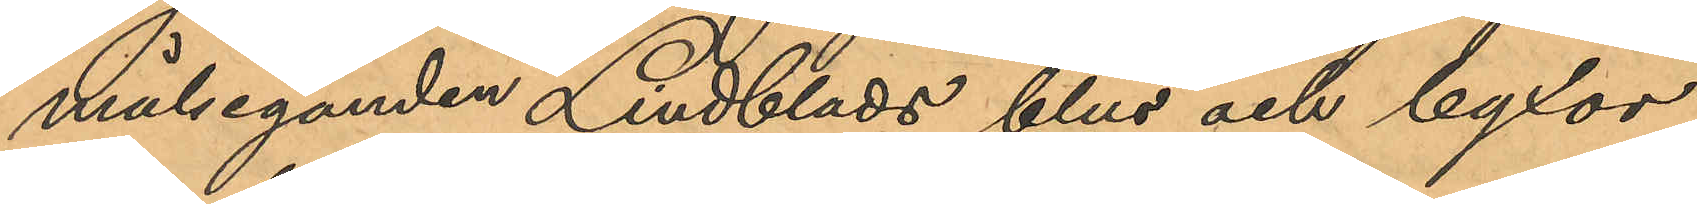målseganden Lindblads blus och byxor,
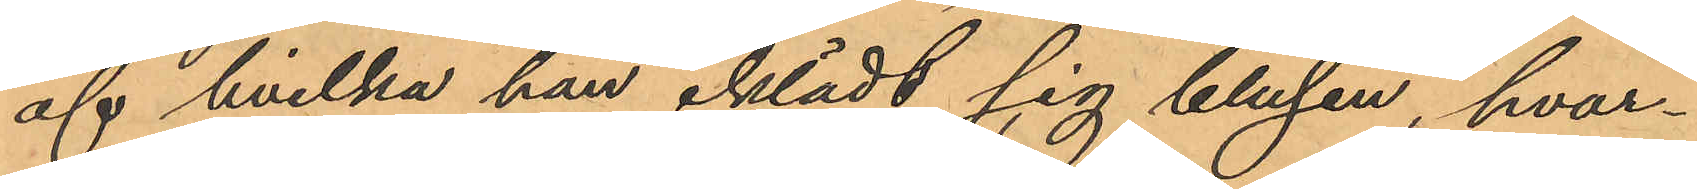af hvilka han iklädt sig blusen, hvar¬
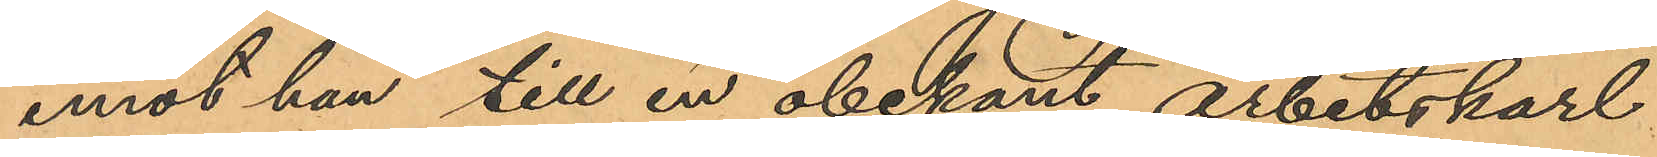emot han till en obekant arbetskarl
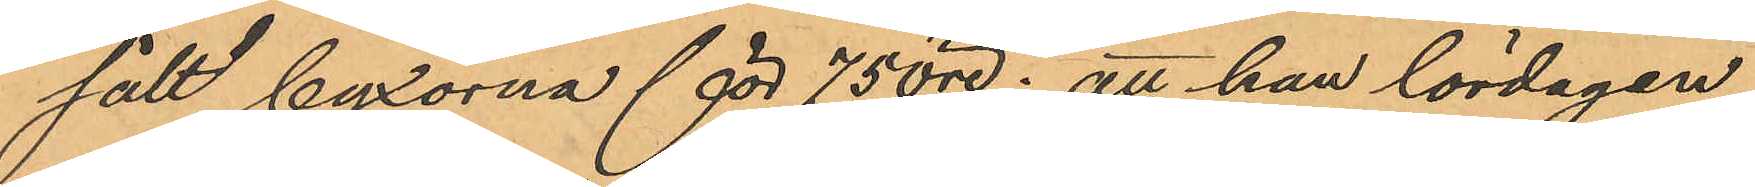sålt byxorna för 75 öre; att han lördagen
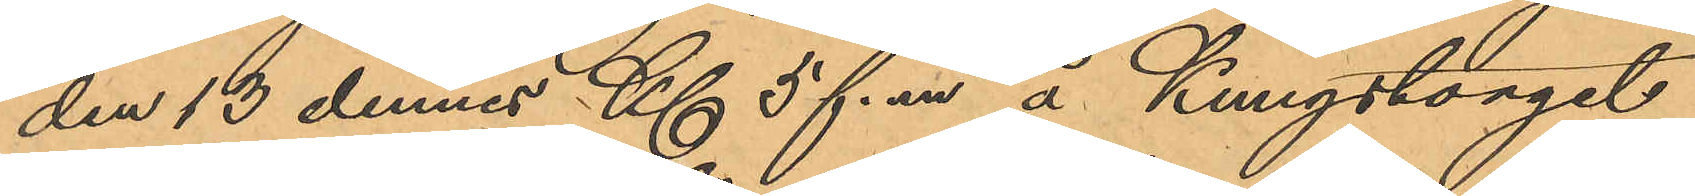den 13 dennes Kl 5 f. m å Kungstorget
